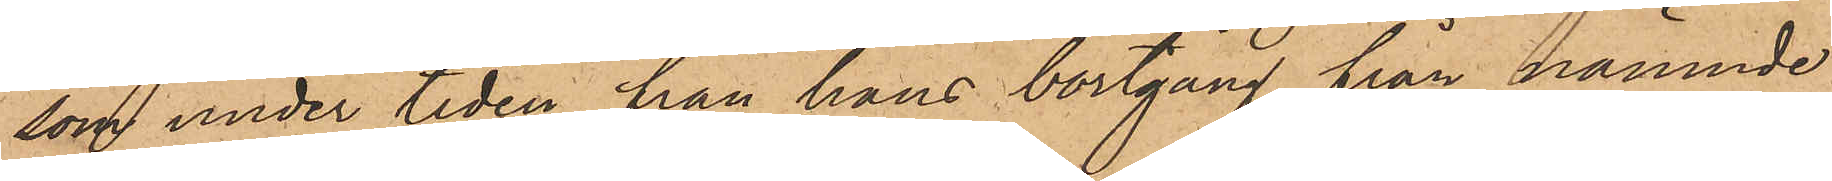som under tiden från hans bortgång från nämnde
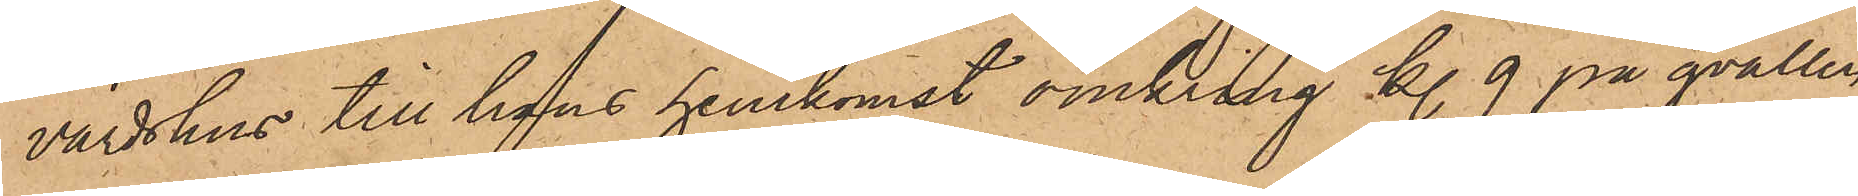värdshus till hans hemkomst omkring kl. 9 på qvällen
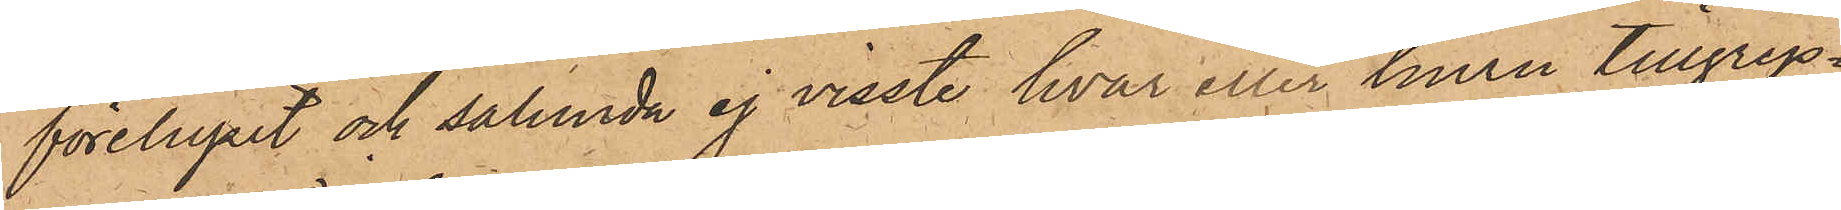föreluprit och sålunda ej visste hvar eller huru tillgrep¬
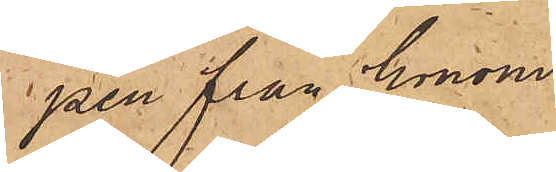pen från honom
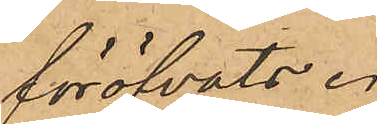föröfvats.
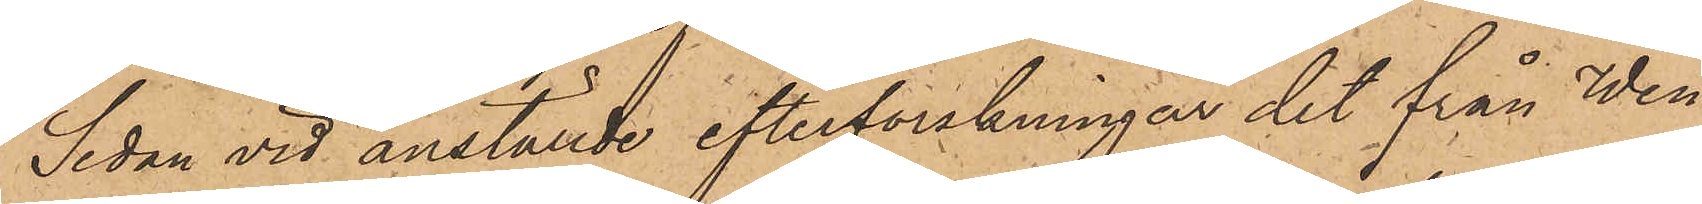Sedan vid anställde efterforskningar det från Wen¬
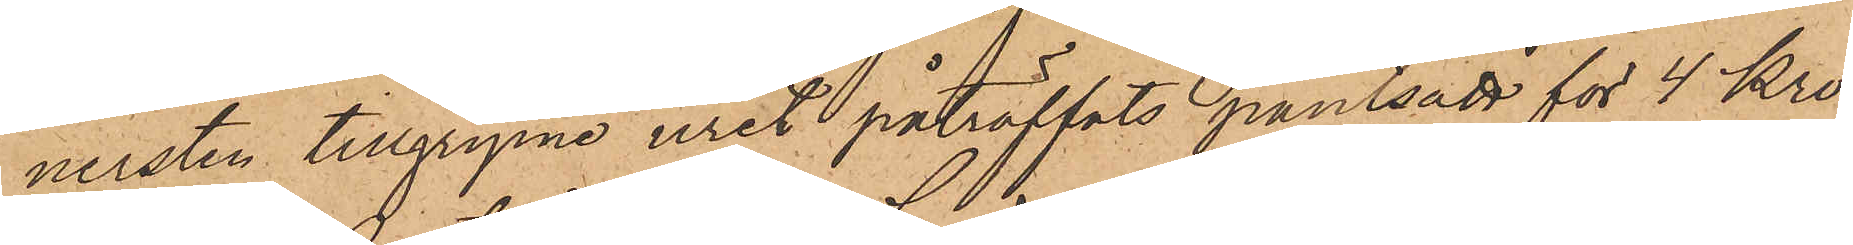nersten tillgripne uret påträffats pantsatt för 4 Kro¬
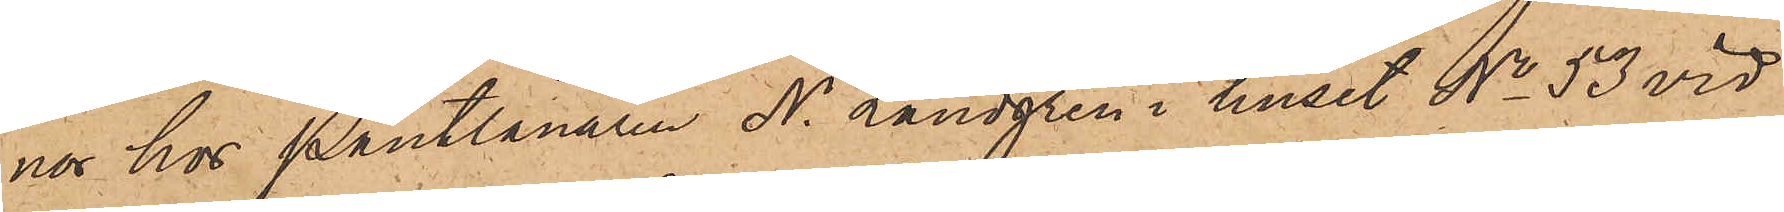nor hos Pantlånaren N. Landgren i huset No 53 vid
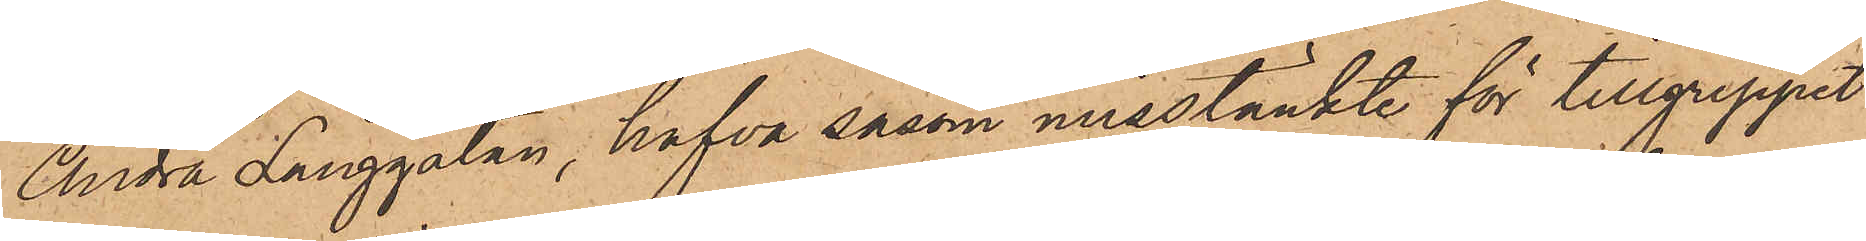Andra Långgatan, hafva såsom misstänkte för tillgreppet
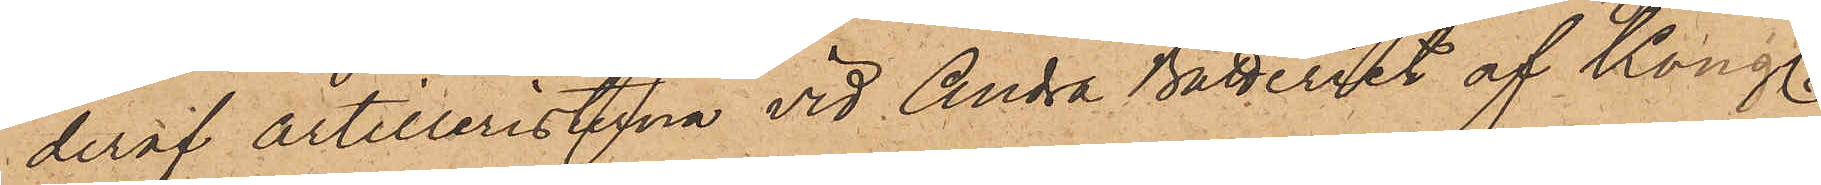deraf artilleristerna vid Andra Batteriet af Kongl.
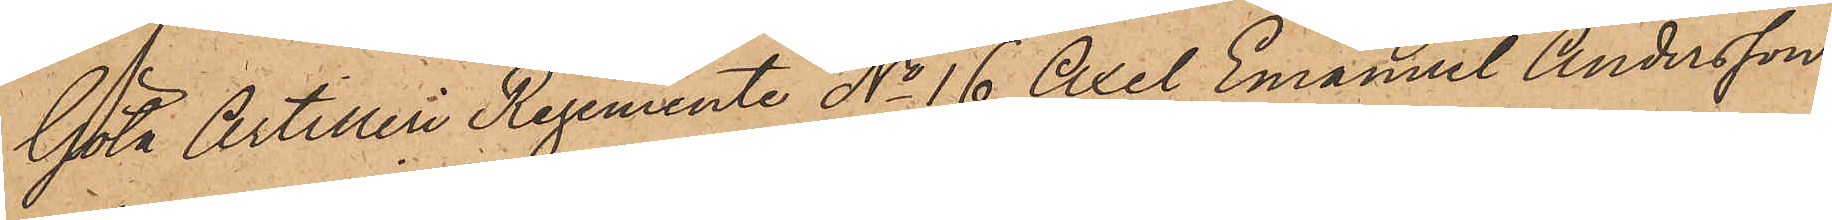Göta Artilleri Regemente No 16 Axel Emanuel Andersson
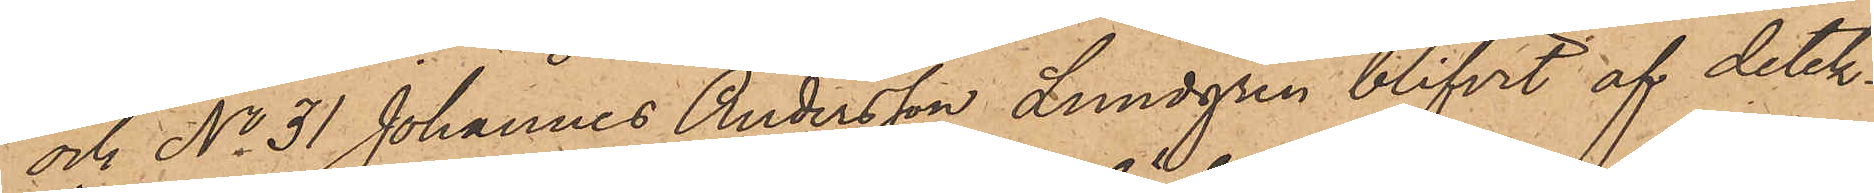och No 31 Johannes Andersson Lundgren blifvit af detek¬
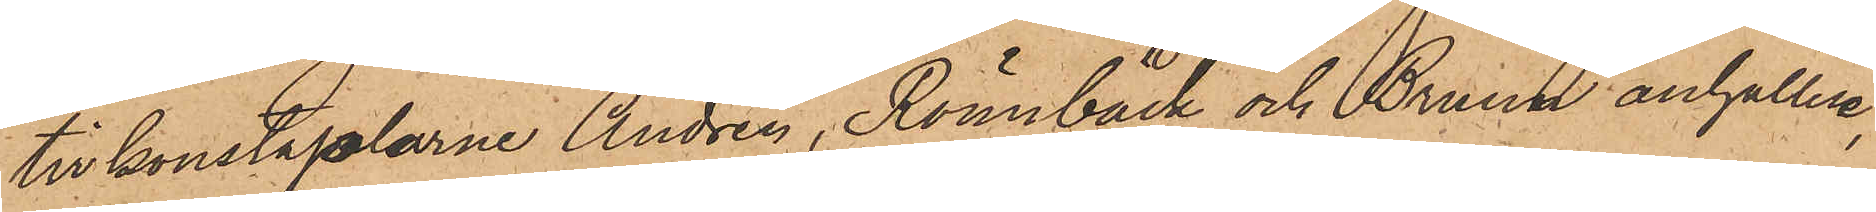tivkonstaplarne Andrén, Rönnbäck och Bruun anhållne,
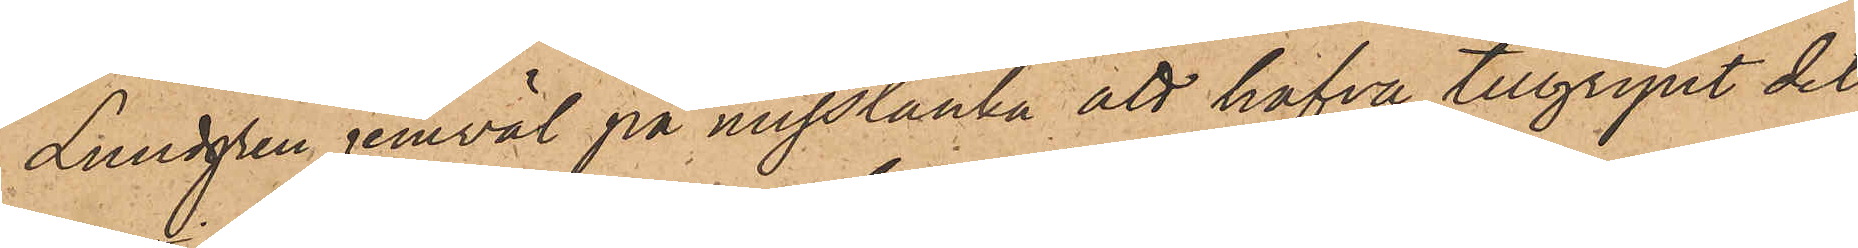Lundgren jemväl på misstanke att hafva tillgripit det
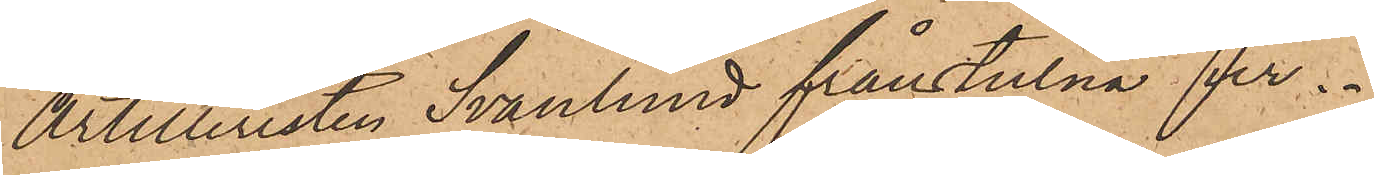Artilleristen Svanlund frånstulna ur.
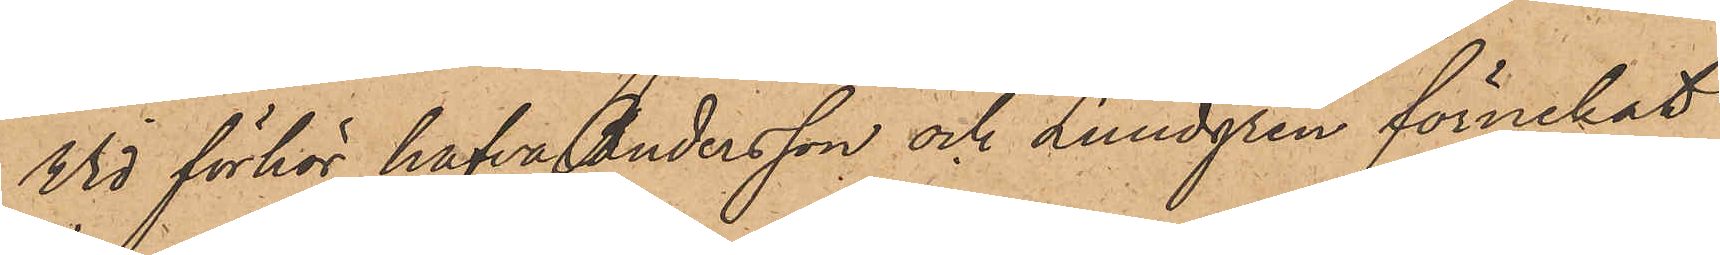Wid förhör hafva Andersson och Lundgren förnekat
